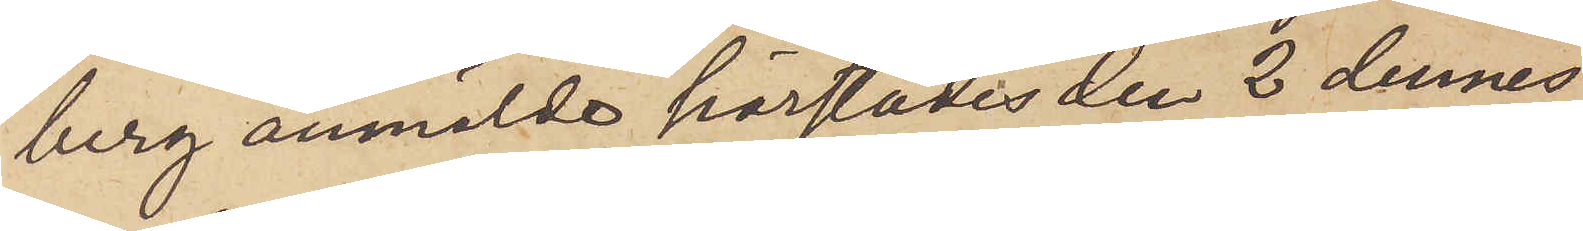berg anmälde härstädes den 2 dennes
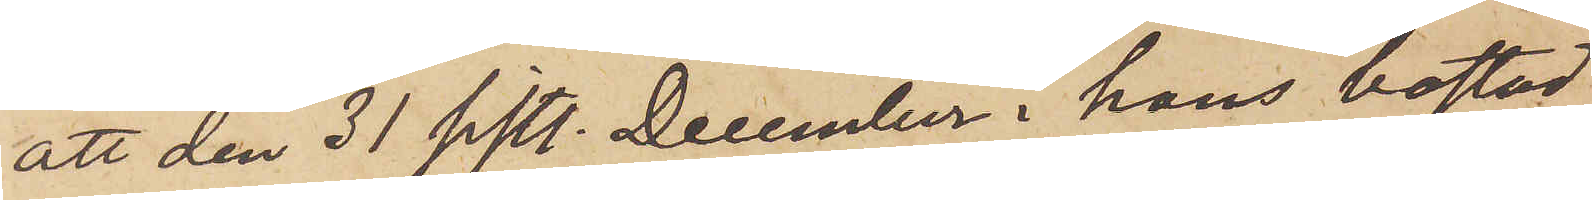att den 31 sistl. December i hans bostad
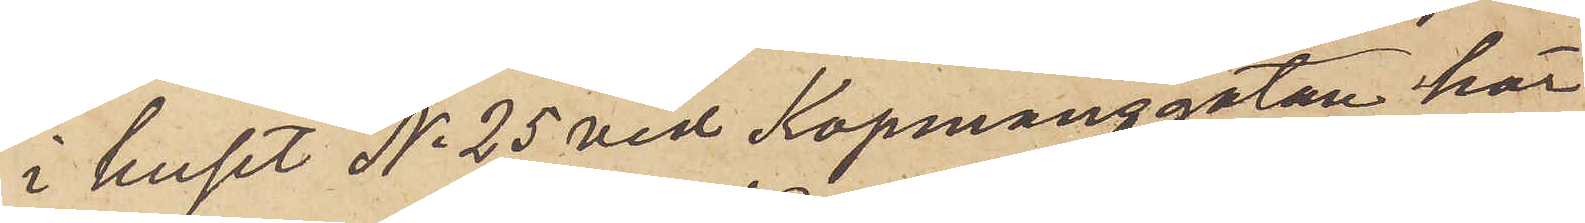i huset No 25 vid Kopmansgatan här
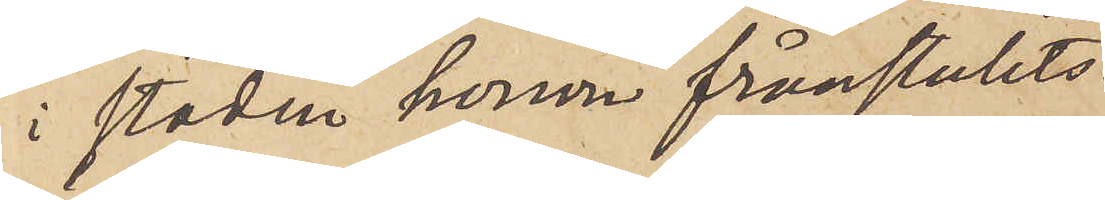i staden honom frånstulits
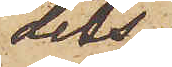dels
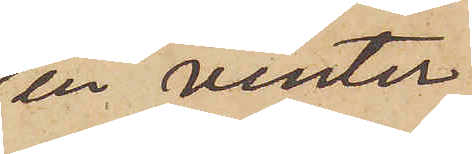en vinter
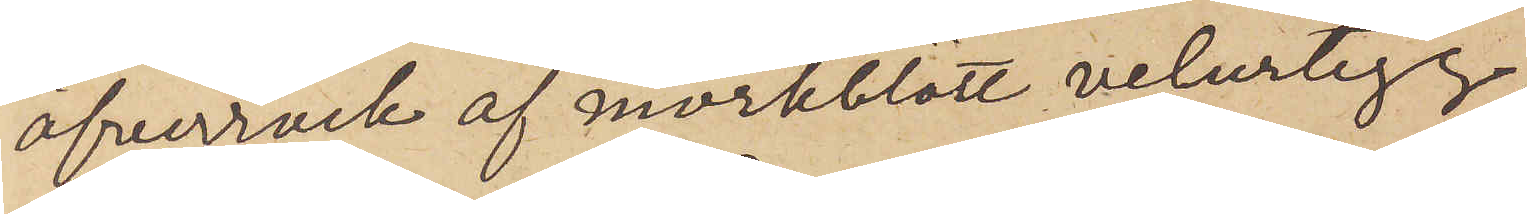öfverrock af mörkblått velurtyg,
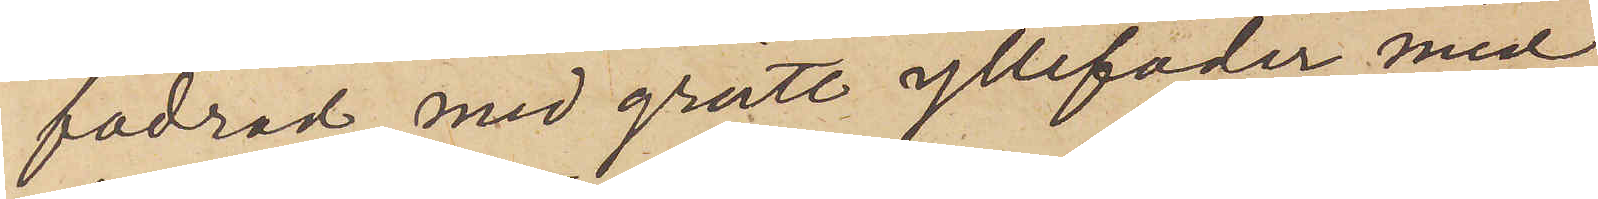fodrad med grått yllefoder med
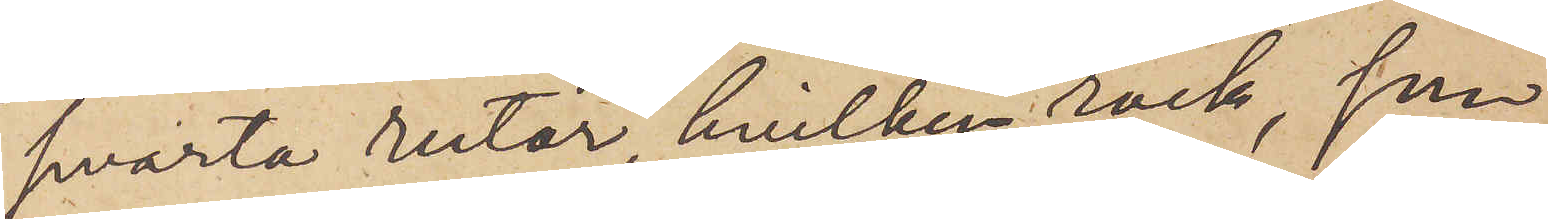svarta rutor, hvilken rock, som
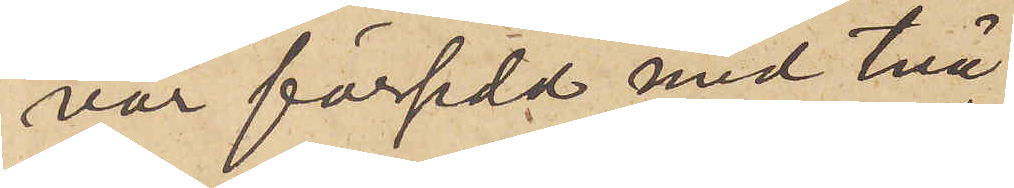var försedd med två
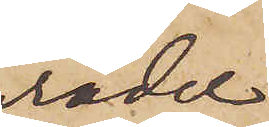rader
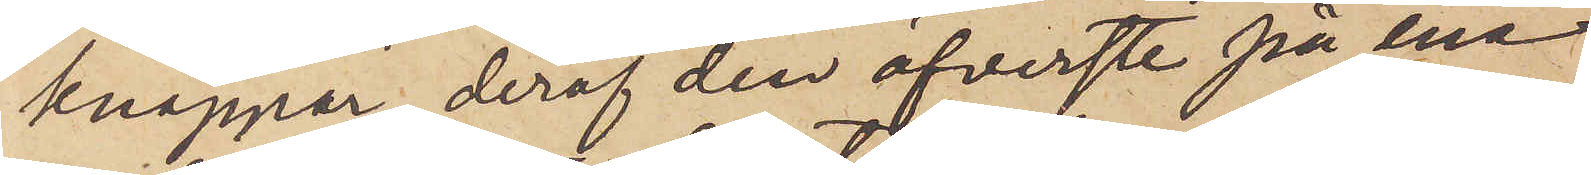knappar, deraf den öfverste på ena
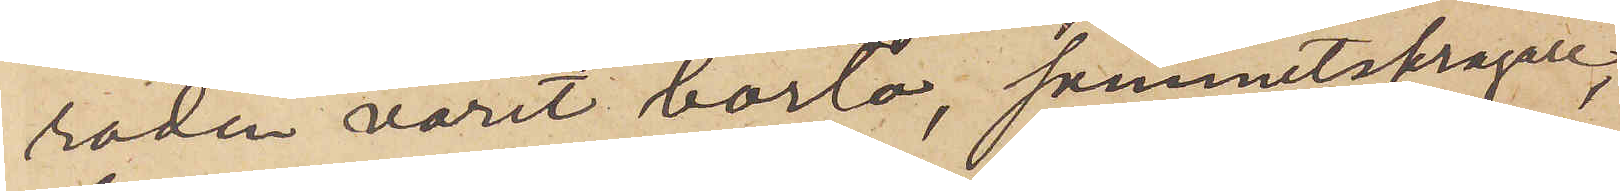raden varit borta, sammetskragad,
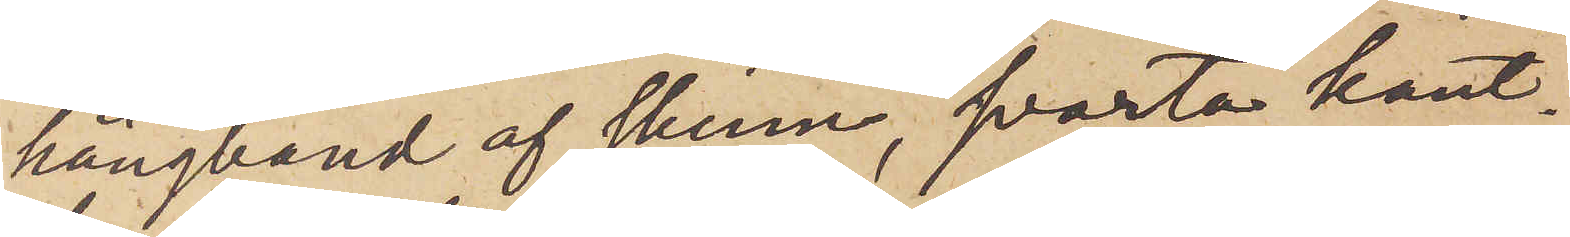hängband af skinn, svarta kant¬
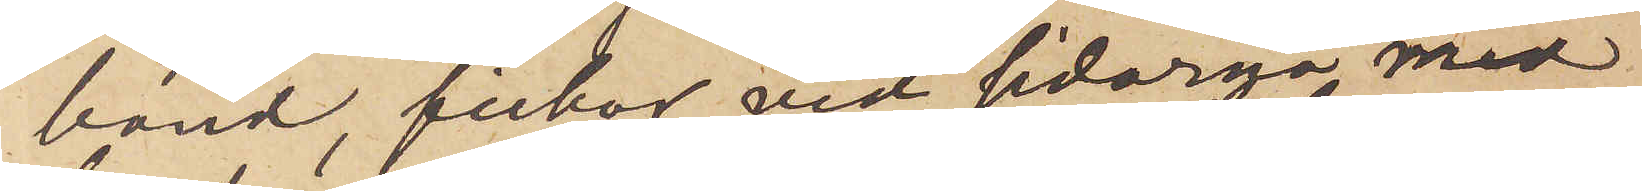band, fickor vid sidorna med
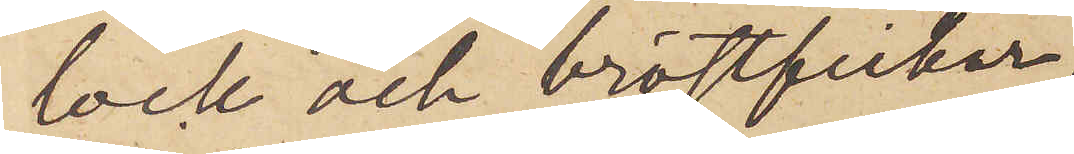lock och bröstfickor
